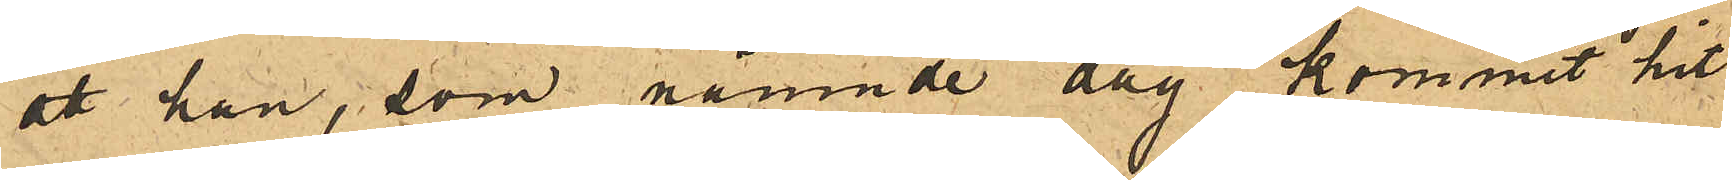att han, som nämnde dag kommit hit
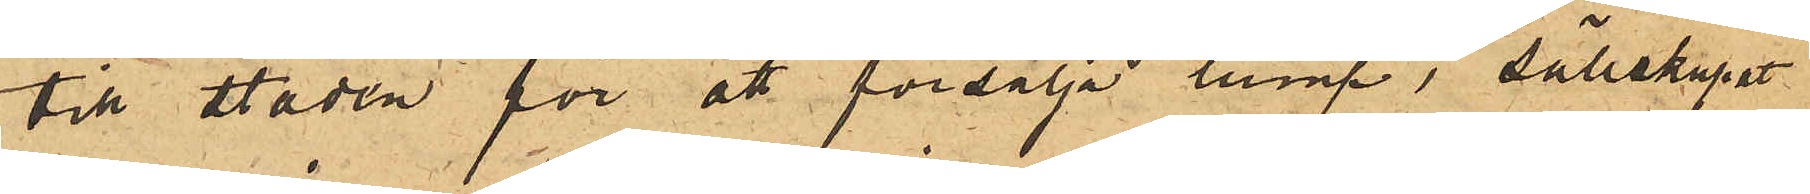till staden för att försälja lump, sällskapat
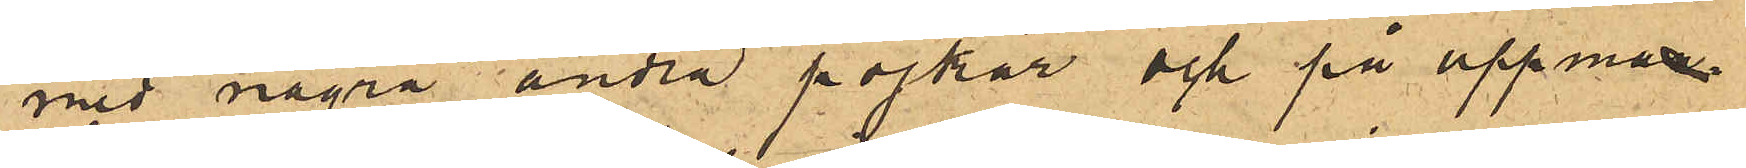med några andra pojkar och på uppma¬
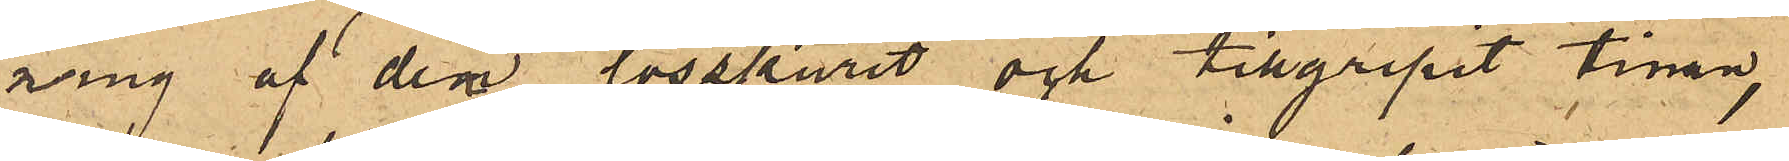ning af dem lösskurit och tillgripit tinan,
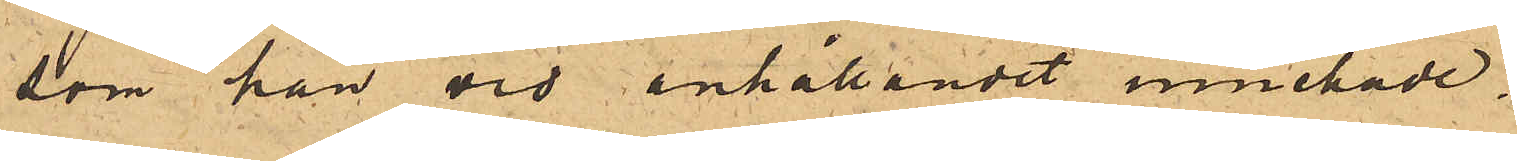som han vid anhållandet innehade.
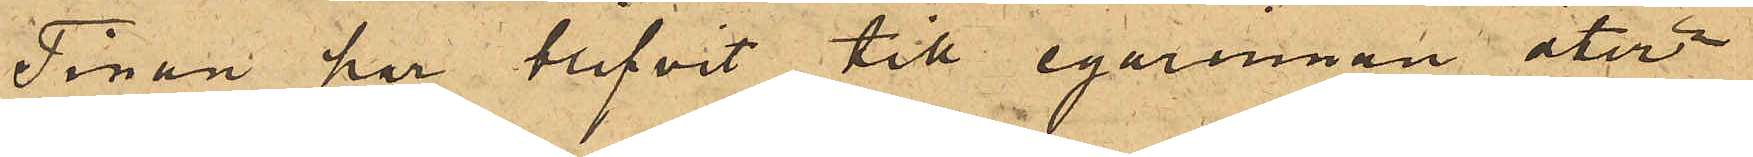Tinan har blifvit till egarinnan åter¬
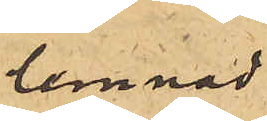lemnad.
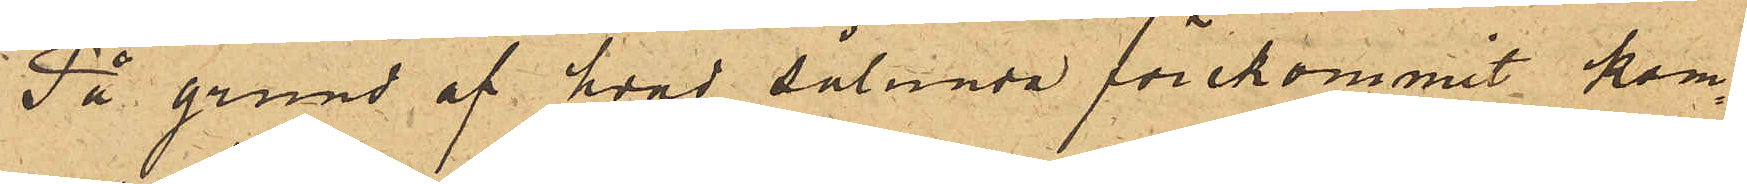På grund af hvad sålunda förekommit kom¬
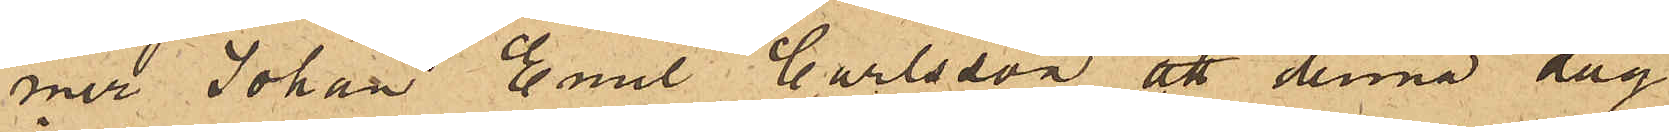mer Johan Emil Carlsson att denna dag
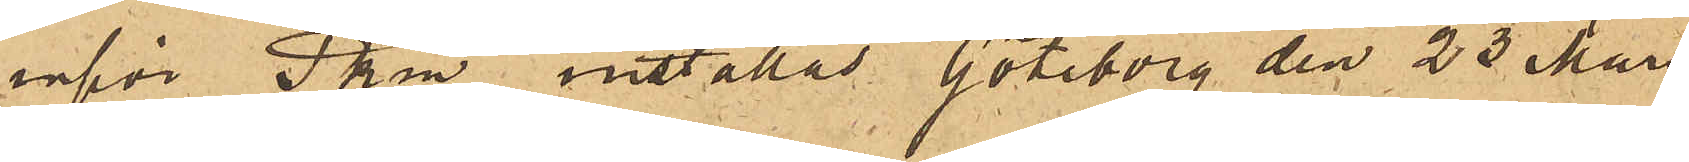inför Pkm inställas. Göteborg den 23 Mars
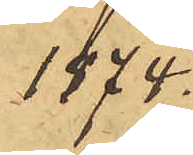1874.
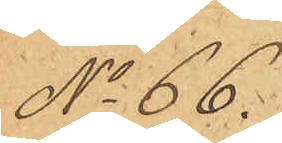No 66.
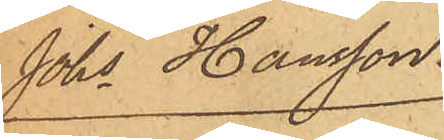Johs Hansson.
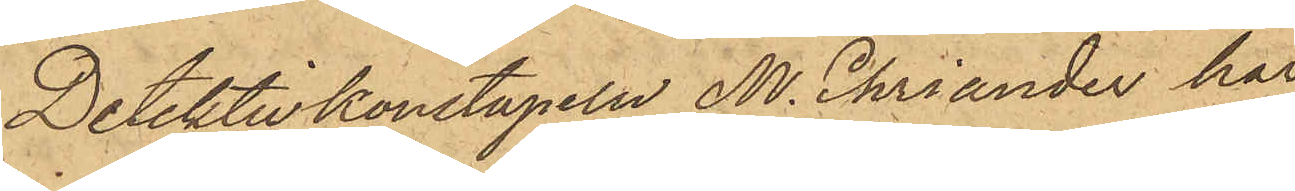Detektivkonstapeln M. Ehiander har
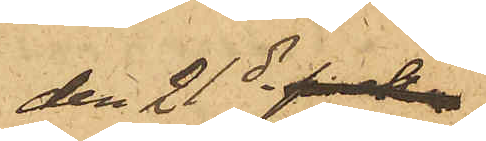den 21 ds fk
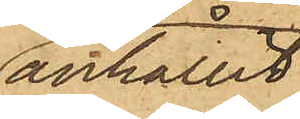anhållit
